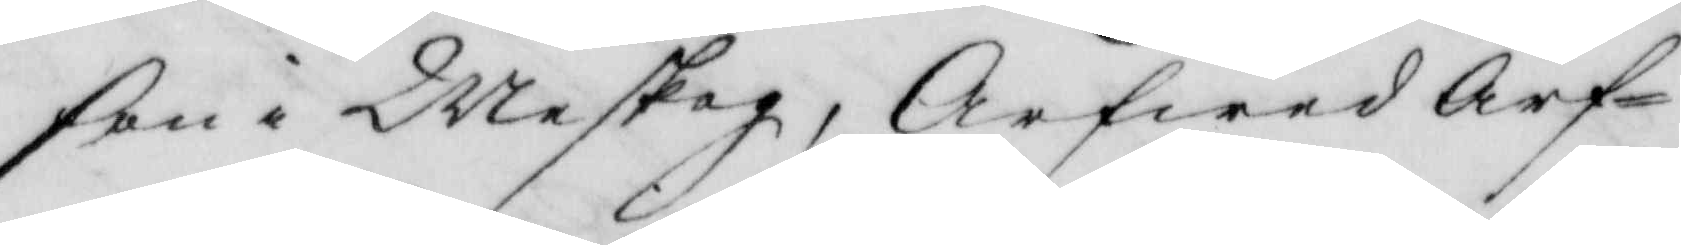son i Weskog, Arfwed Arf¬
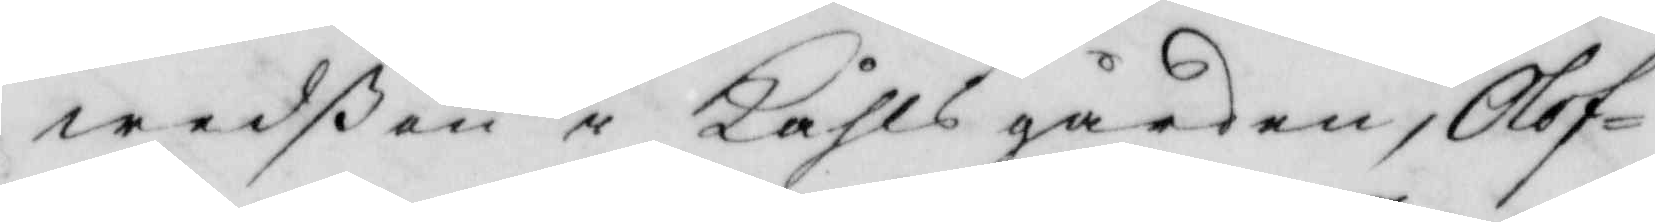wedßon i Kåhlsgården, Olof
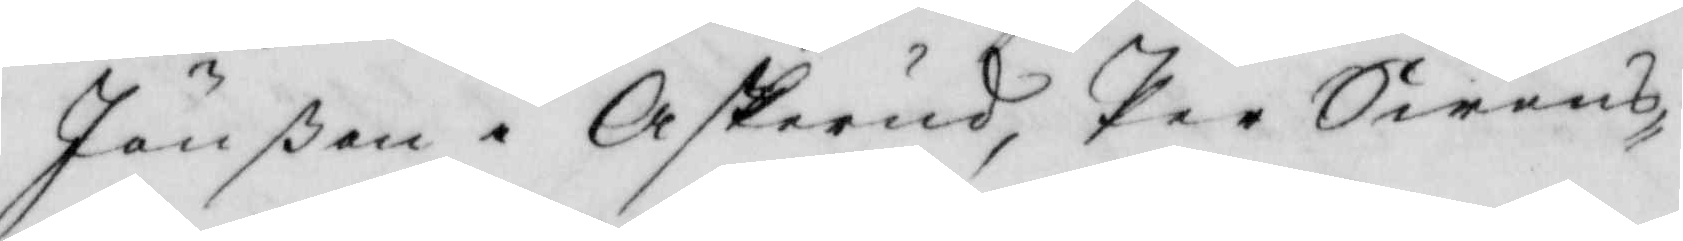Jönßon i Askerud, Per Swens¬
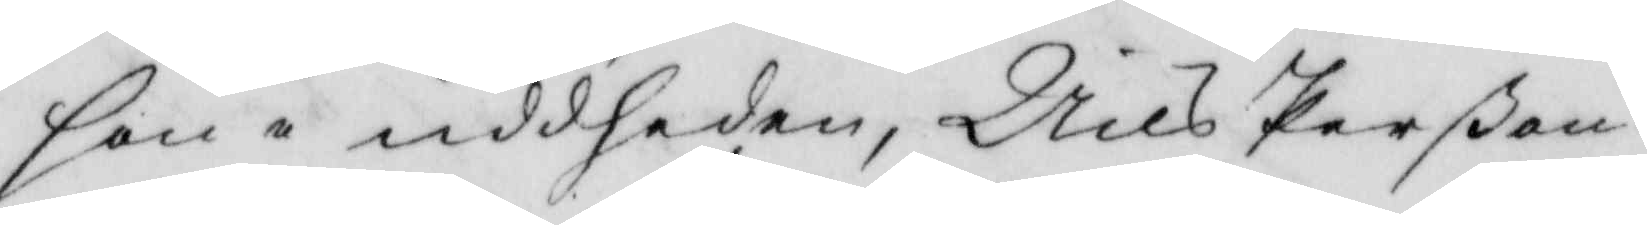son i uddheden, Nils Perßon
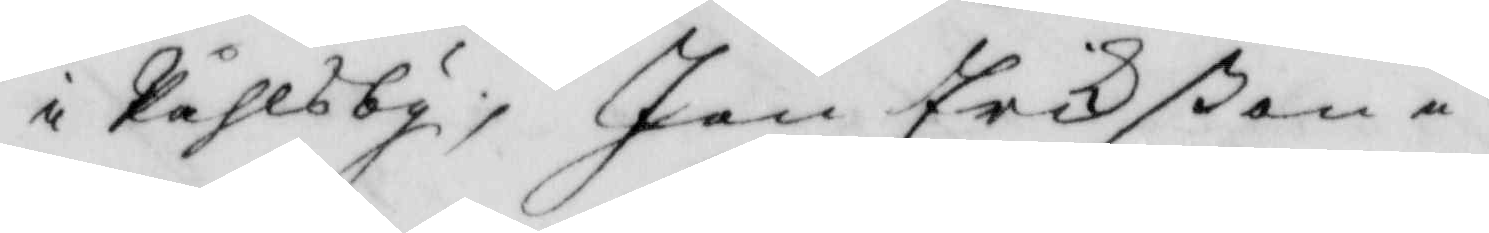i Kåhlsby, jan Erikßon i
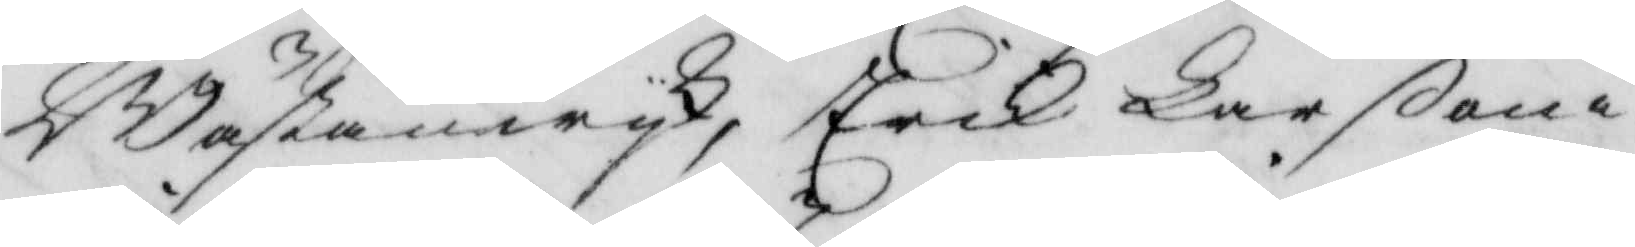Wästanwyk, erik Larßon i
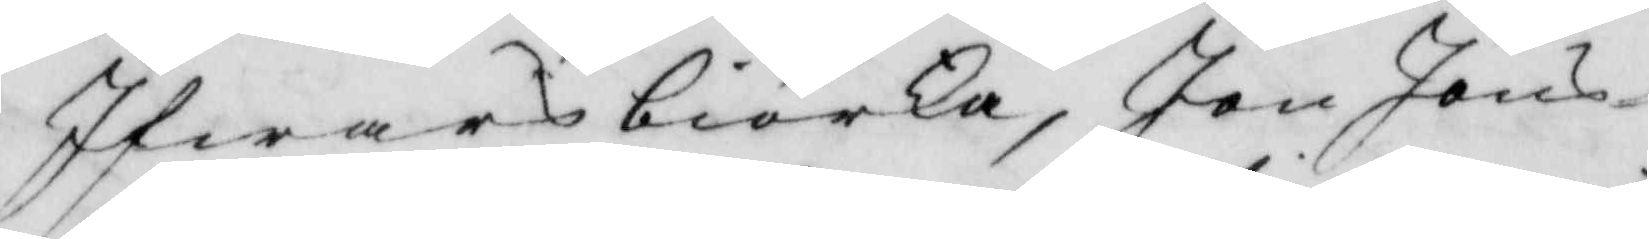Ifwarsbiörka, Jon Jns¬
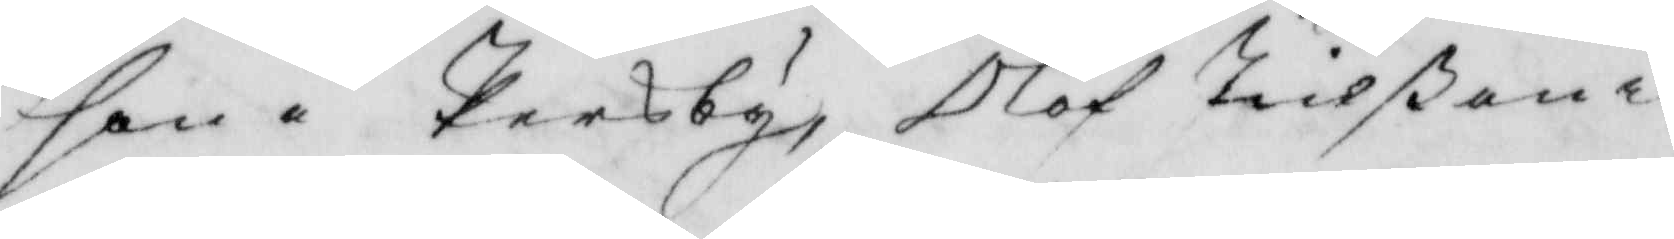son i Persby, Olof Nilsßon i
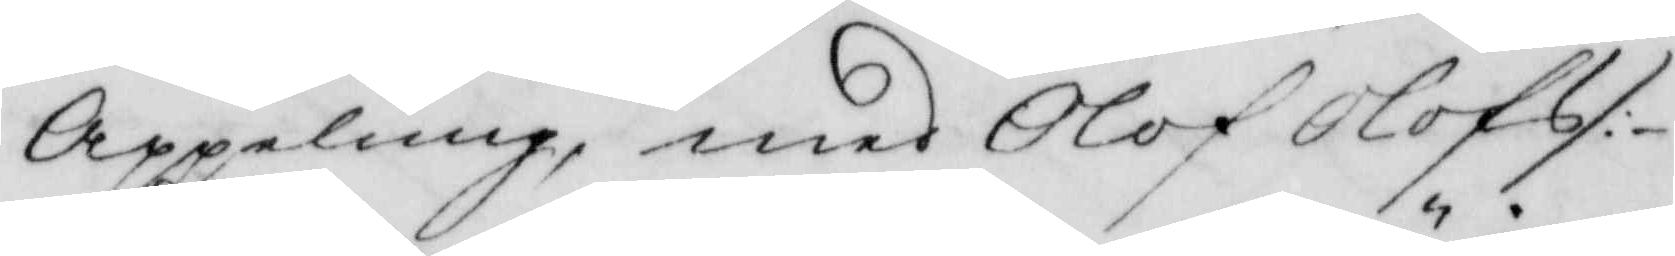Appeläng, med Olof Olofs/
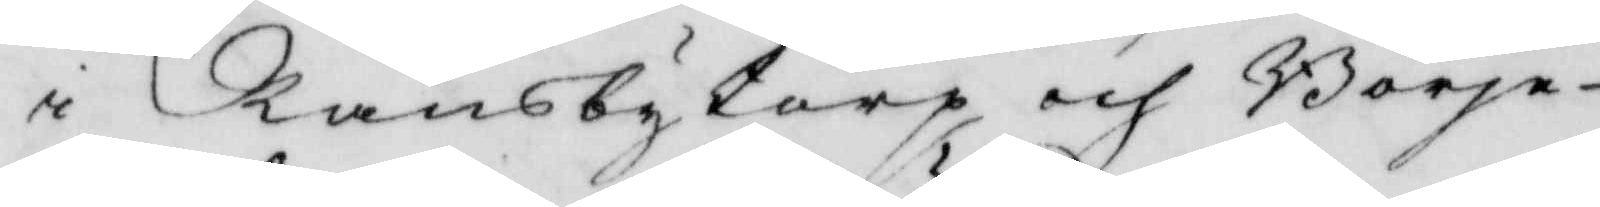i Ransbytorp och Börje
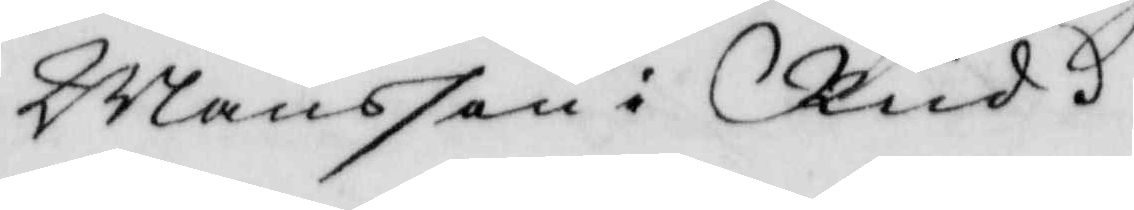Månsson i Rud.
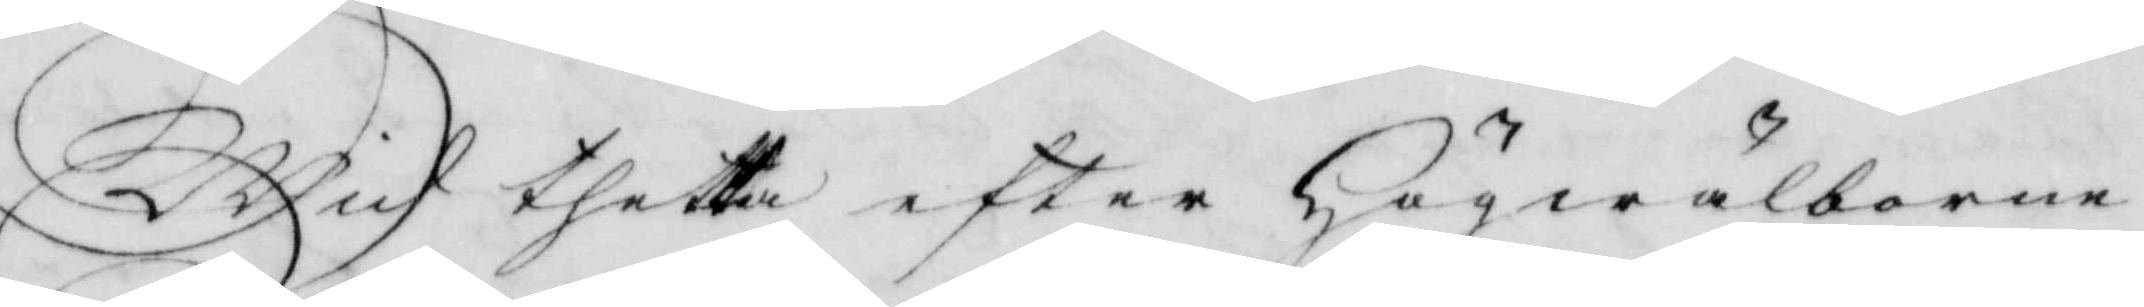Wid thetta efter Högwälborne
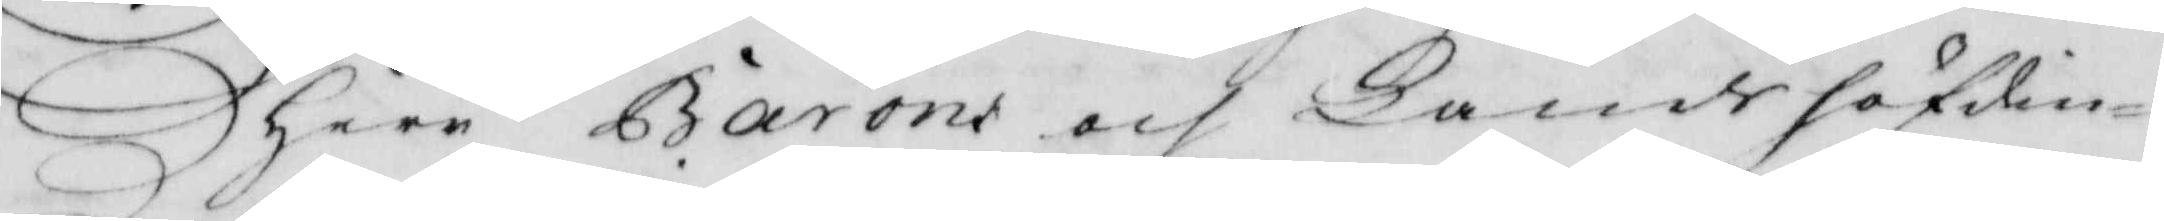Herr Barons  och Landshöfdin¬
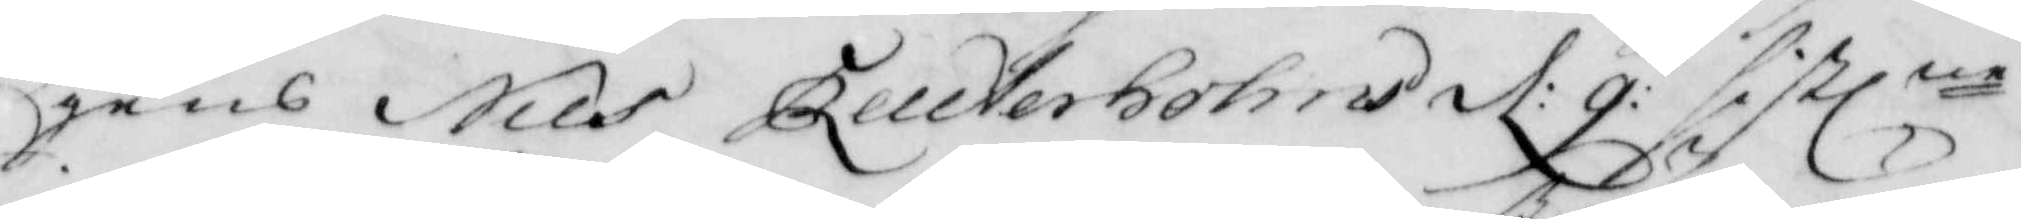gens Nils Reuterbohms d: 9: sistlne
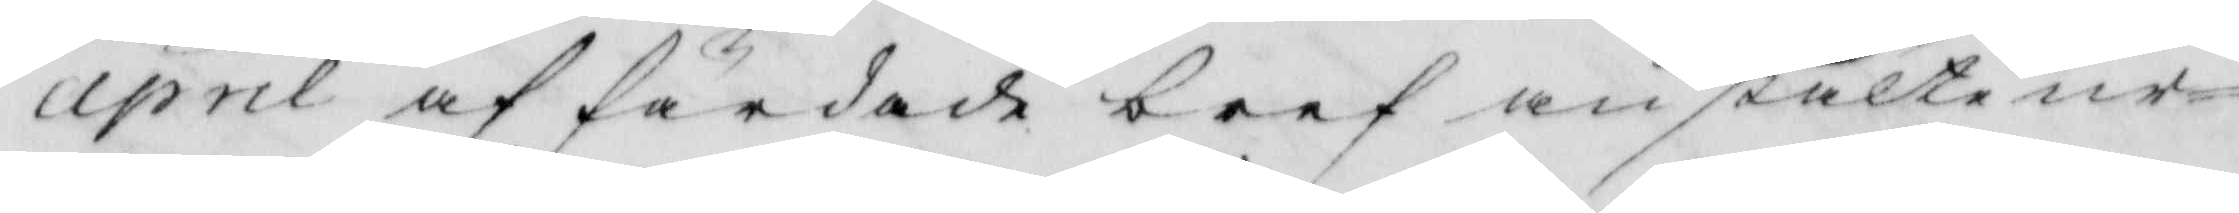april affärdade bref anstälte ur¬
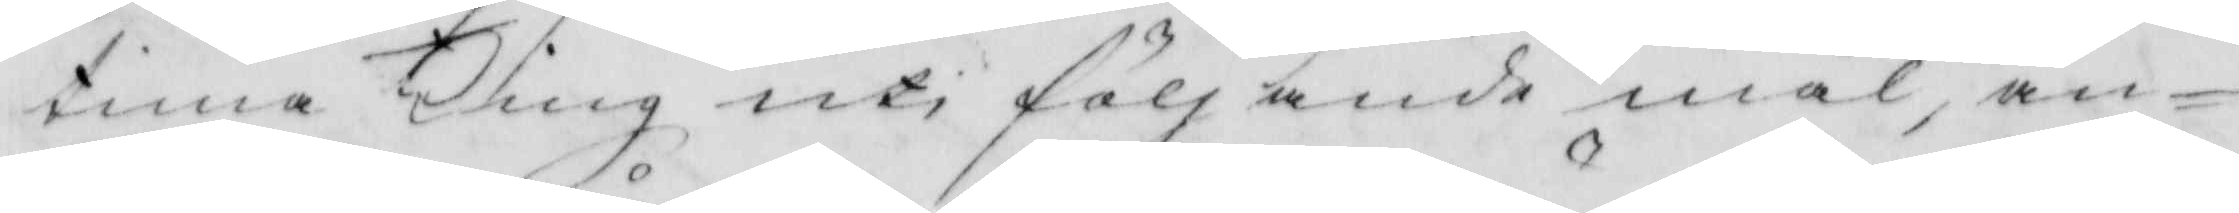tima Ting uti följande mål, an¬
